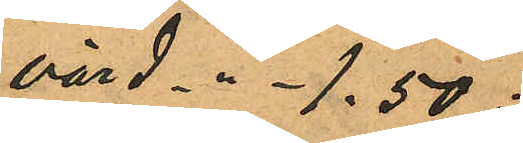värd -"- 1.50;
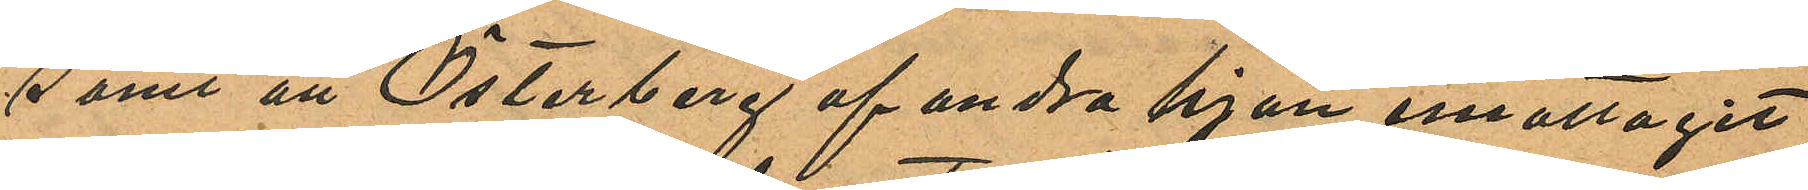samt att Österberg af andra hjon emottagit
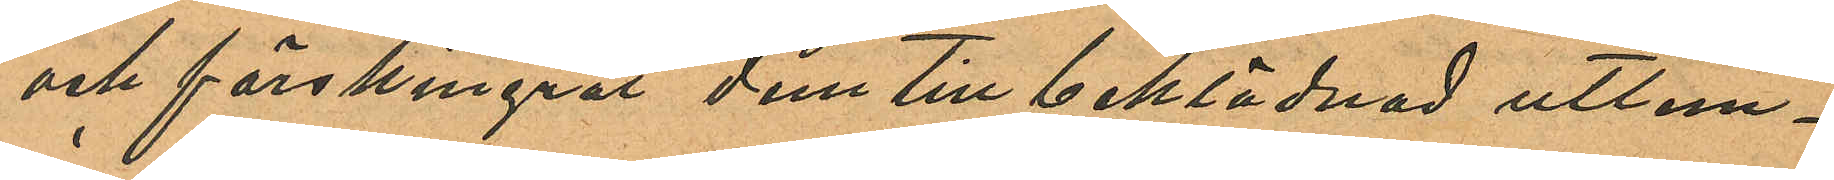och förskingrat dem till beklädnad utlem¬
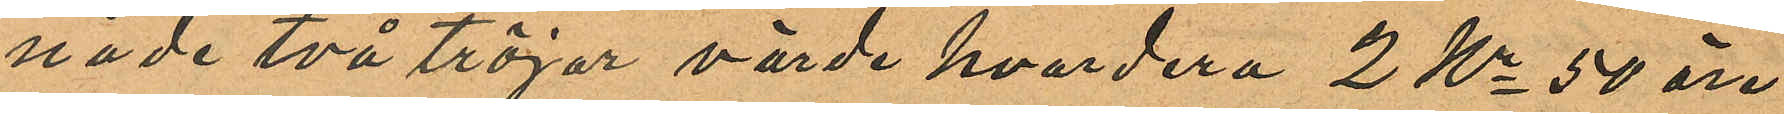nade två tröjor värde hvardera 2 Kr 50 öre
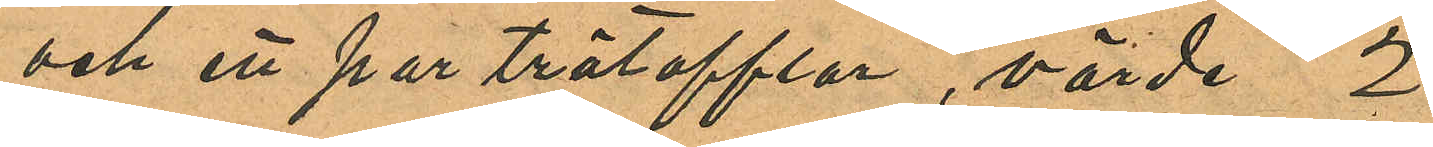och ett par trätofflor, värde 2
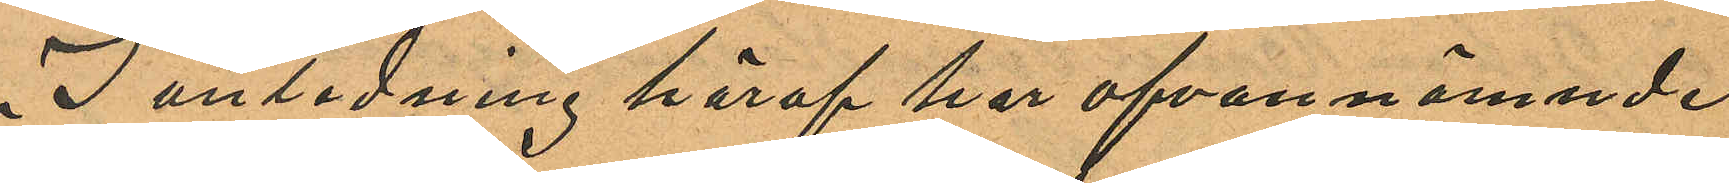I anledning häraf har ofvannämnde
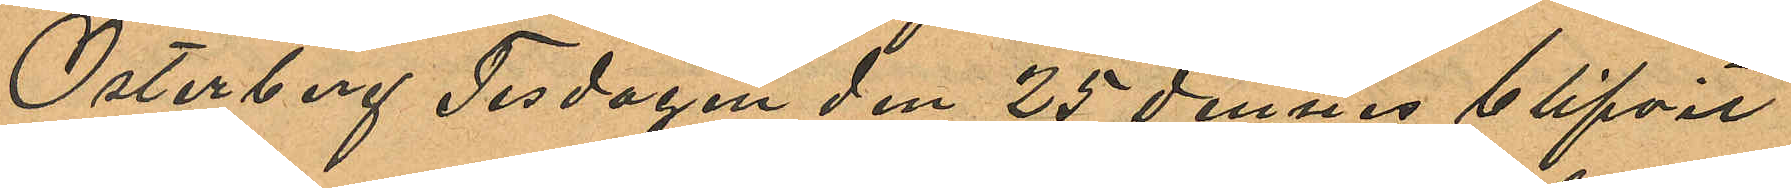Österberg Tisdagen den 25 dennes blifvit
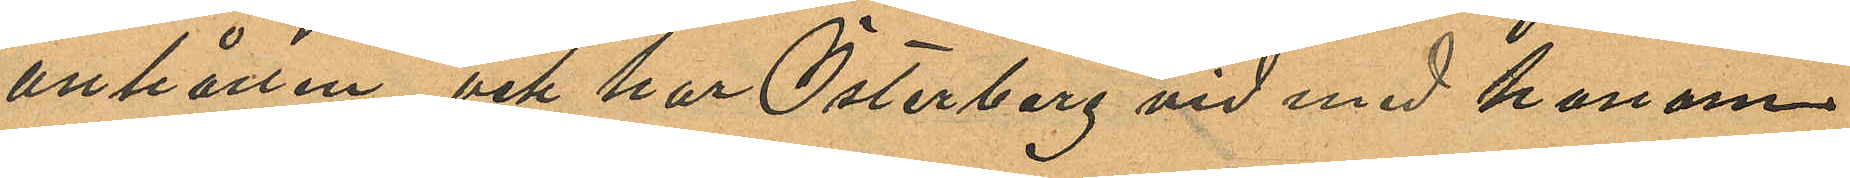anhållen och har Österberg vid med honom
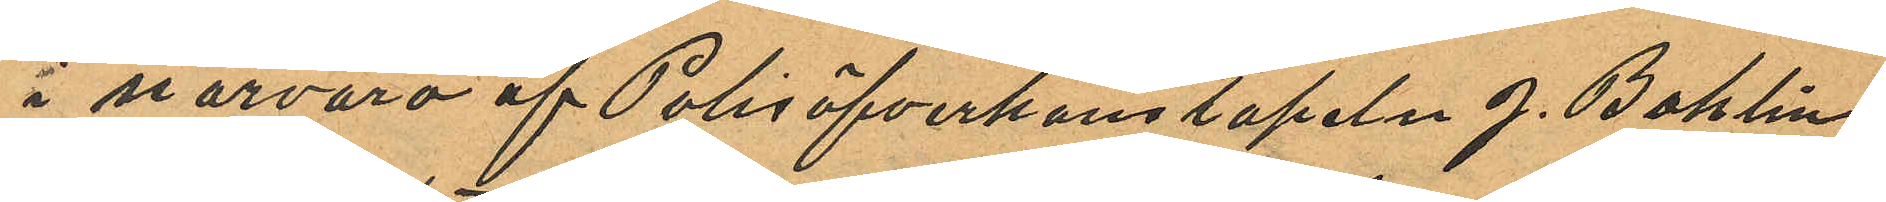i närvaro af Polisöfverkonstapeln J. Bohlin
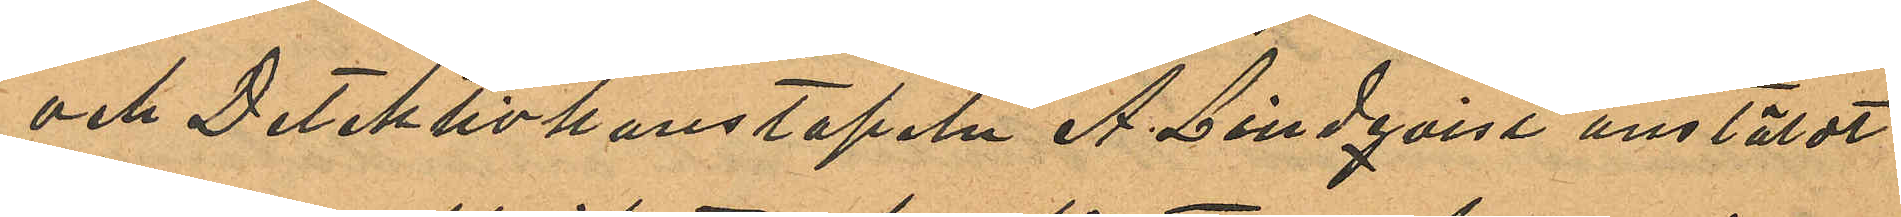och Detektivkonstapeln A. Lindqvist anstäldt
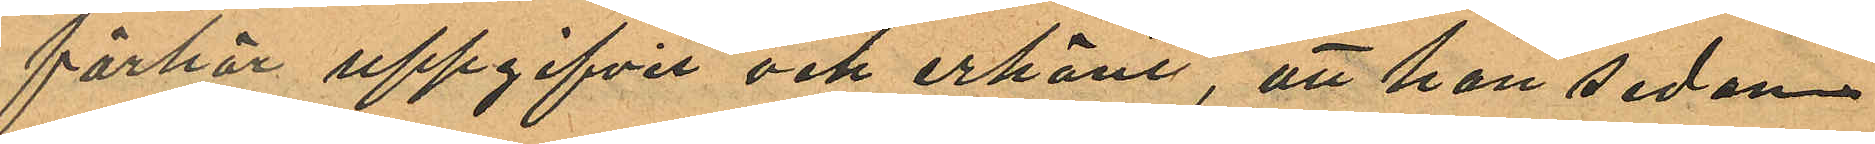förhör uppgifvit och erkänt, att han sedan
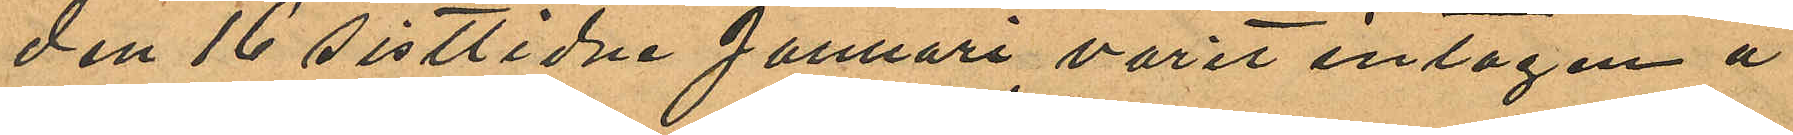den 16 sistlidne Januari varit intagen å
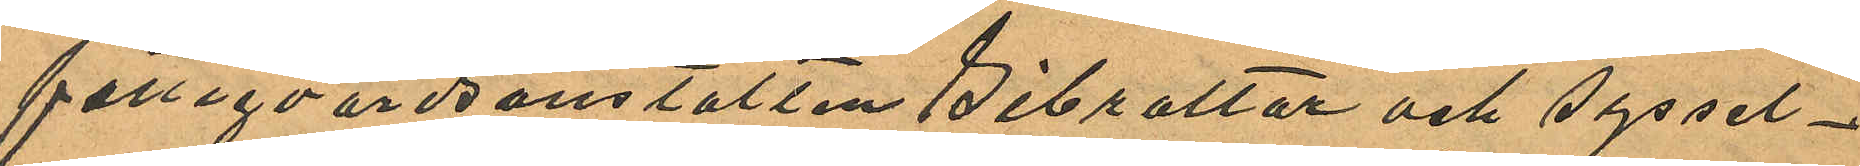fattigvårdsanstalten Gibraltar och syssel¬
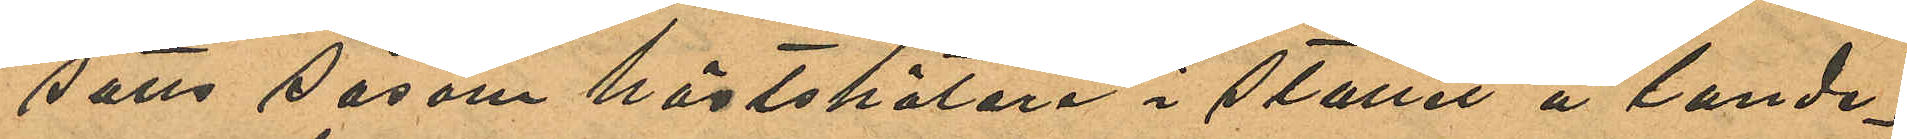satts såsom hästskötare i stallet å lande¬
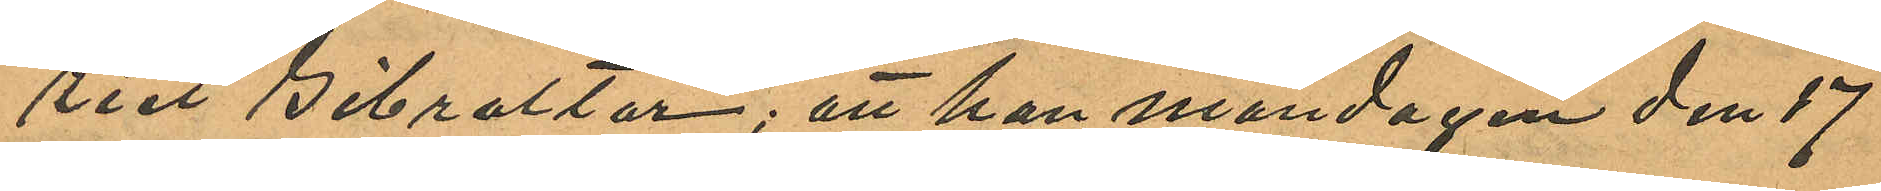riet Gibraltar; att han måndagen den 17
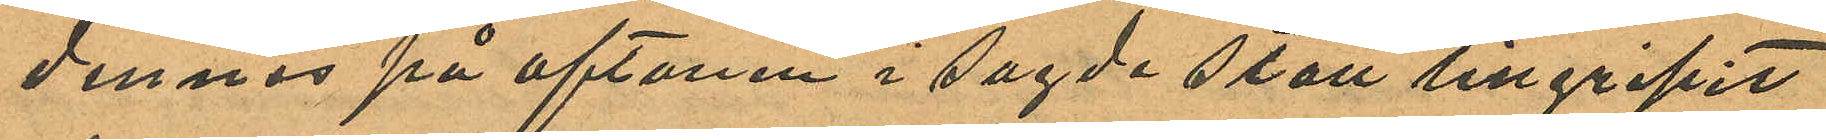dennes på aftonen i sagde stått tillgripit
